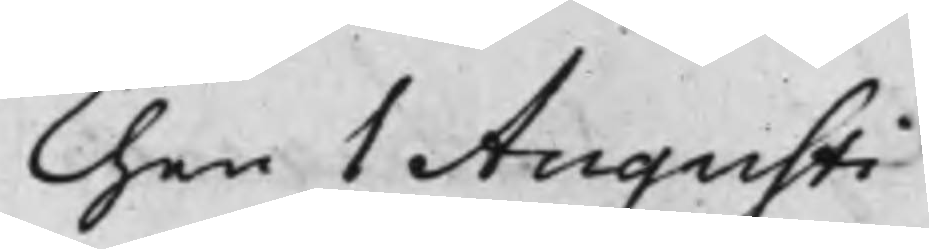Then 1 Augusti
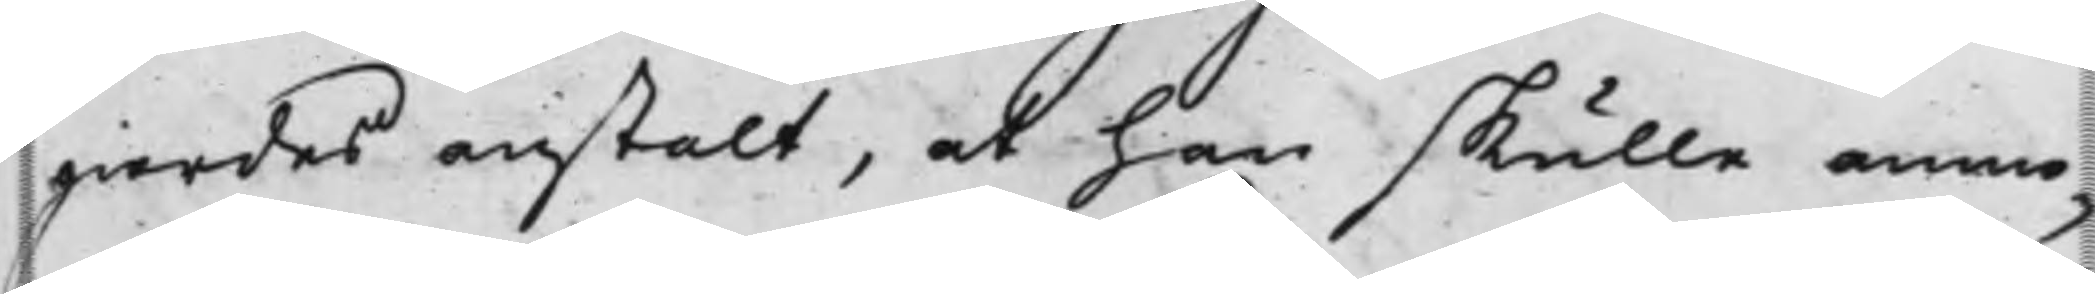giordes anstalt, at han skulle anmo¬
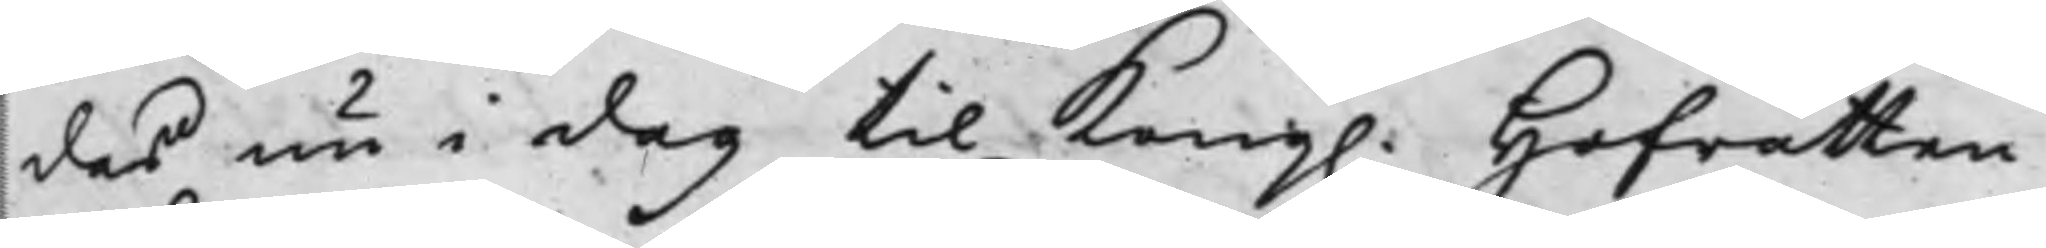das nu i dag til Kong. Hofrätten
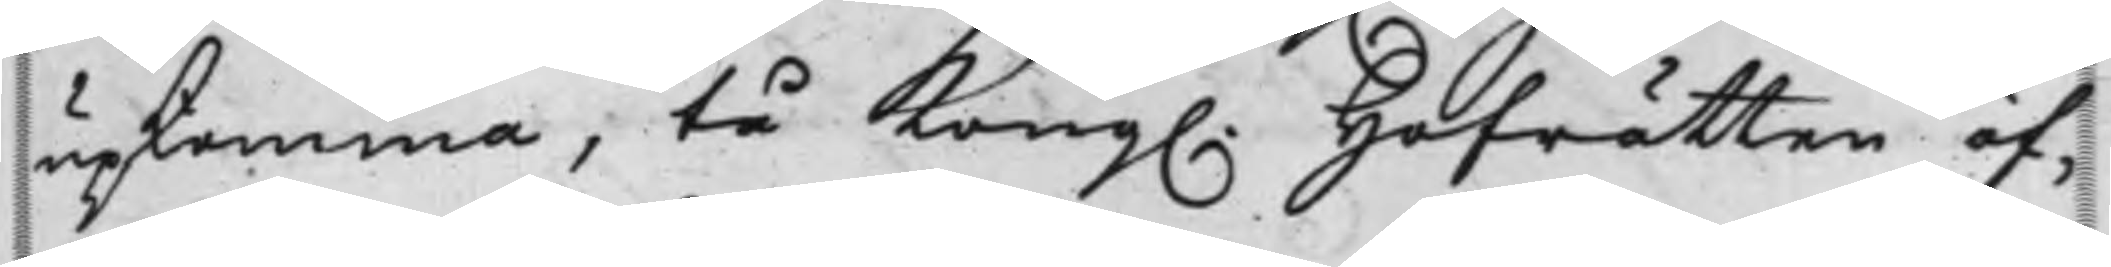upkomma; tå Kong. Hofrätten öf¬
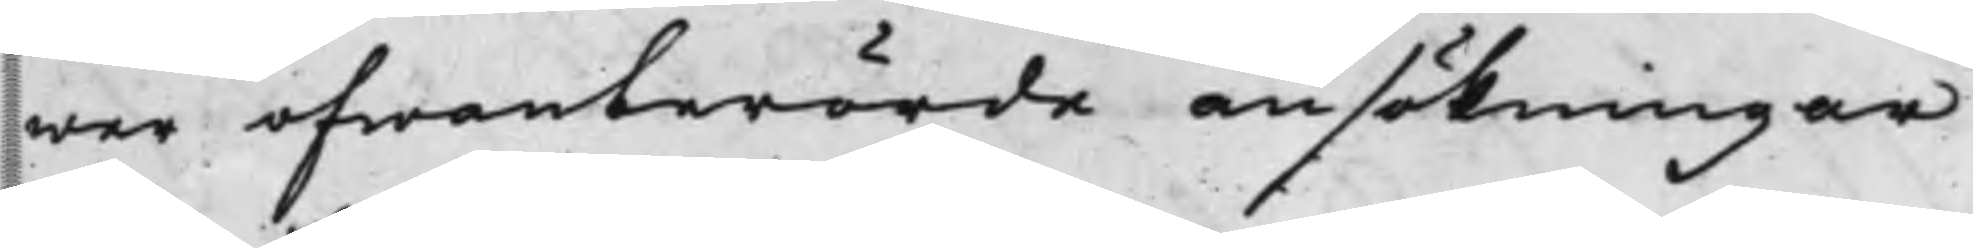wer ofwanberörde ansökningar
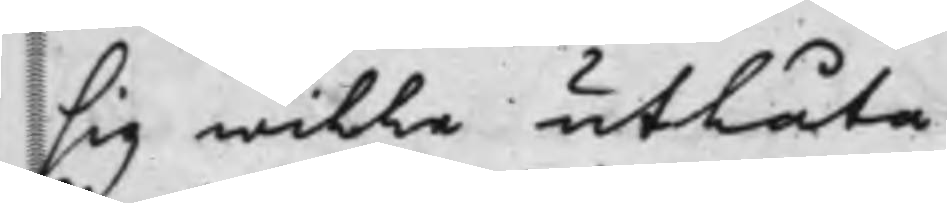sig wille utlåta.
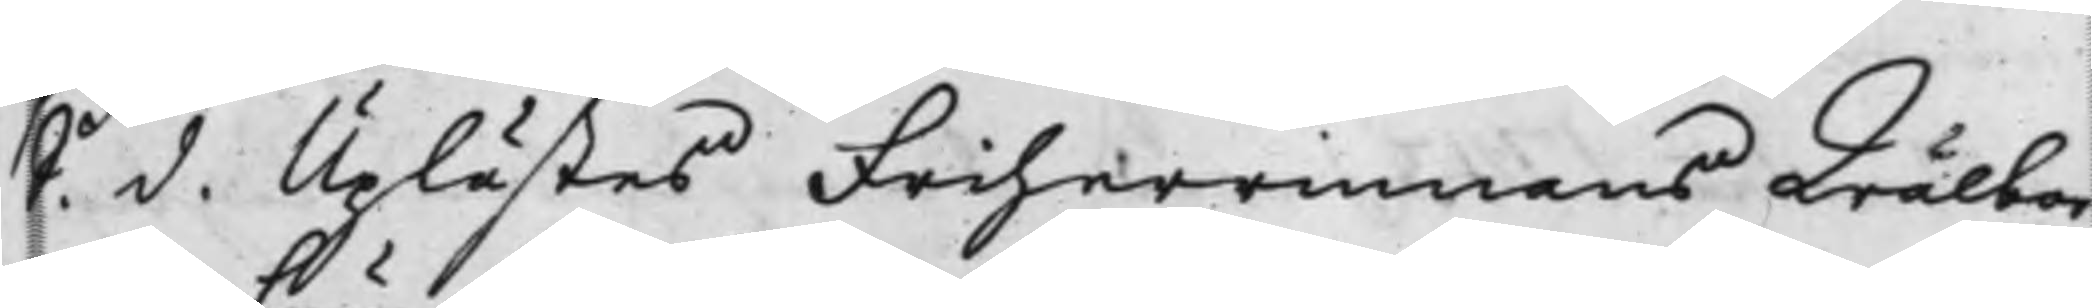S. d. Uplästes Friherrinnans Wälbor¬
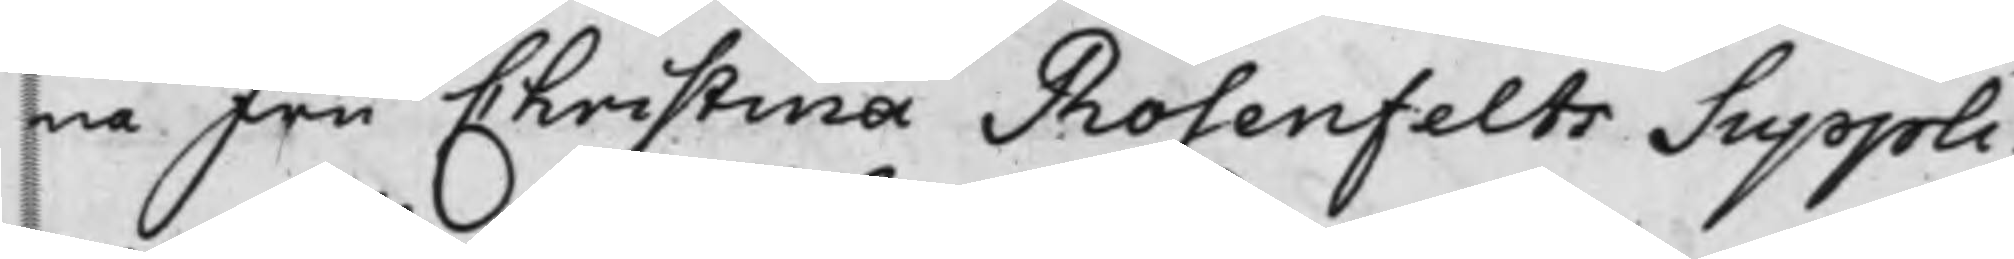na Fru Christina Rosenfelts Suppli¬
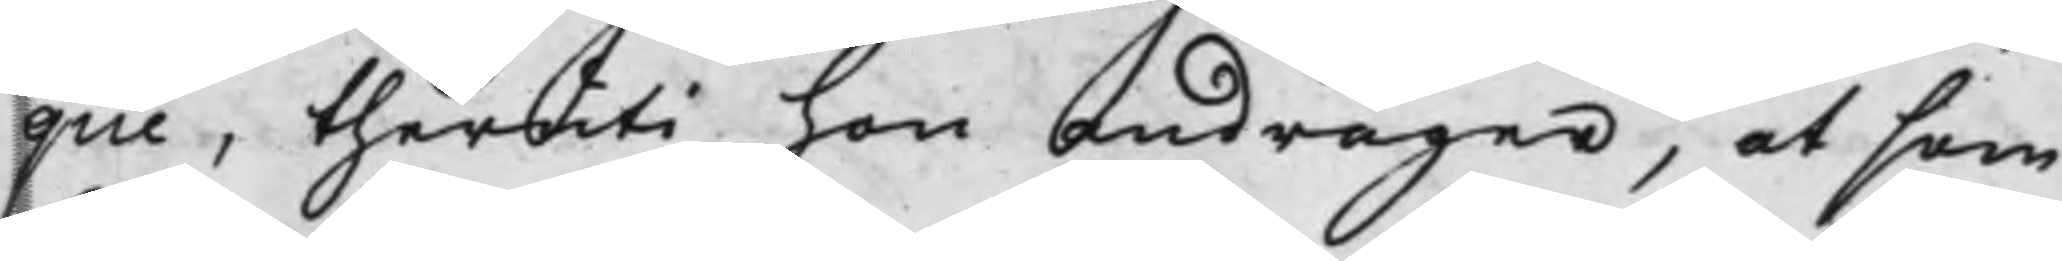que, theruti hon andrager, at som
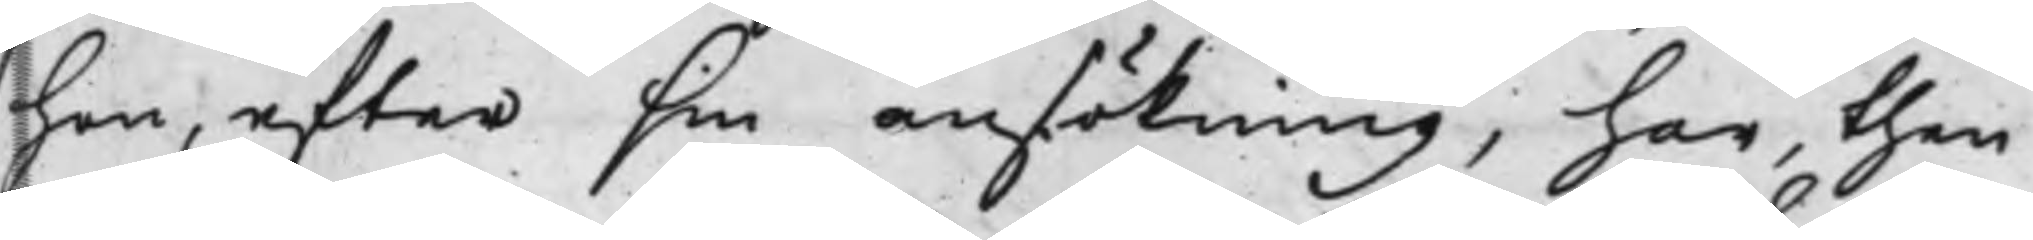hon, efter sin ansökning; har, then
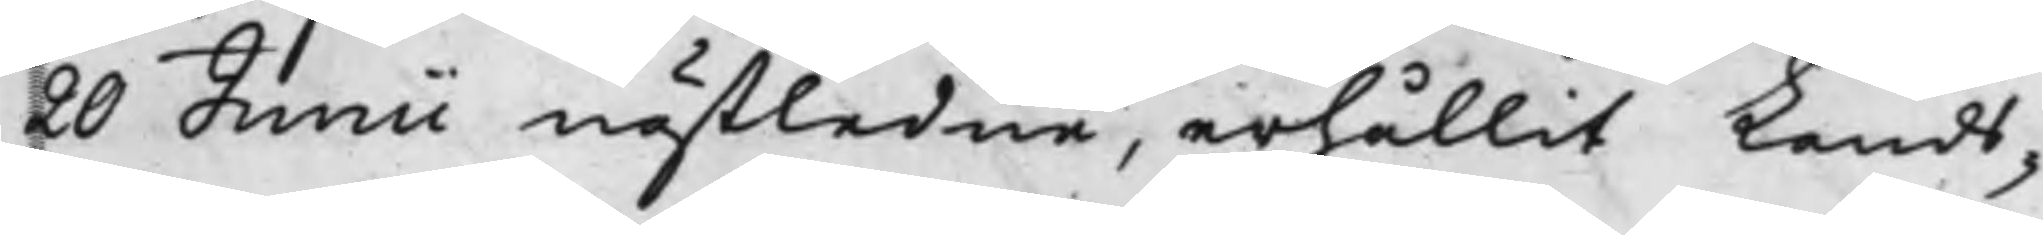20 Junii nästledne, erhållit Lands¬
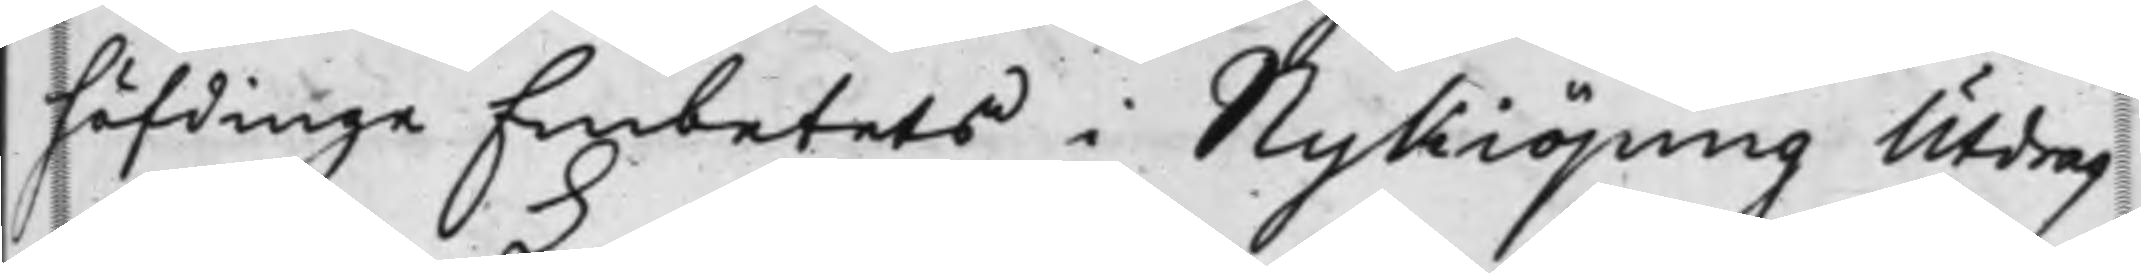höfdingeEmbetets i Nykiöping Utdrag
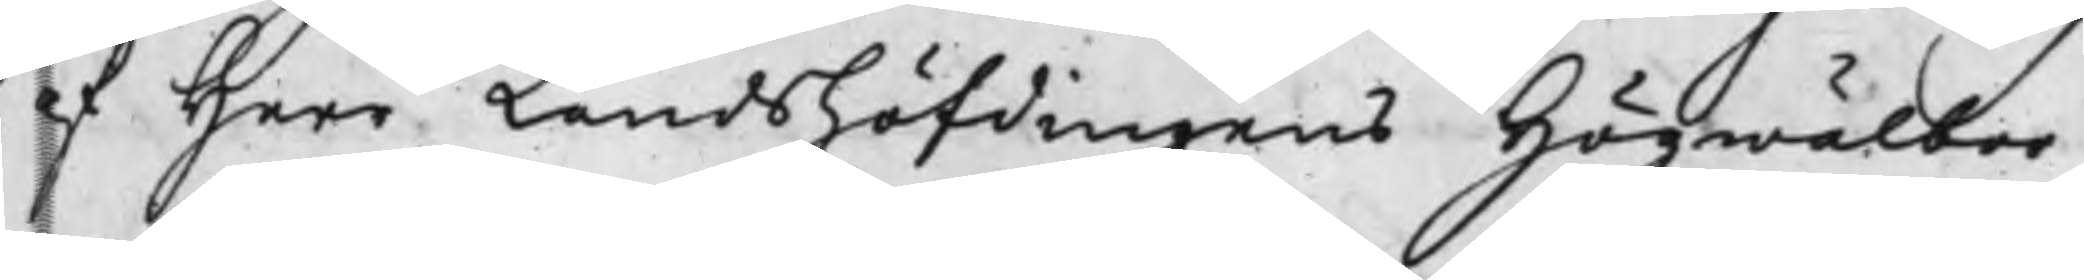af Herr Landshöfdingens Högwälbor¬
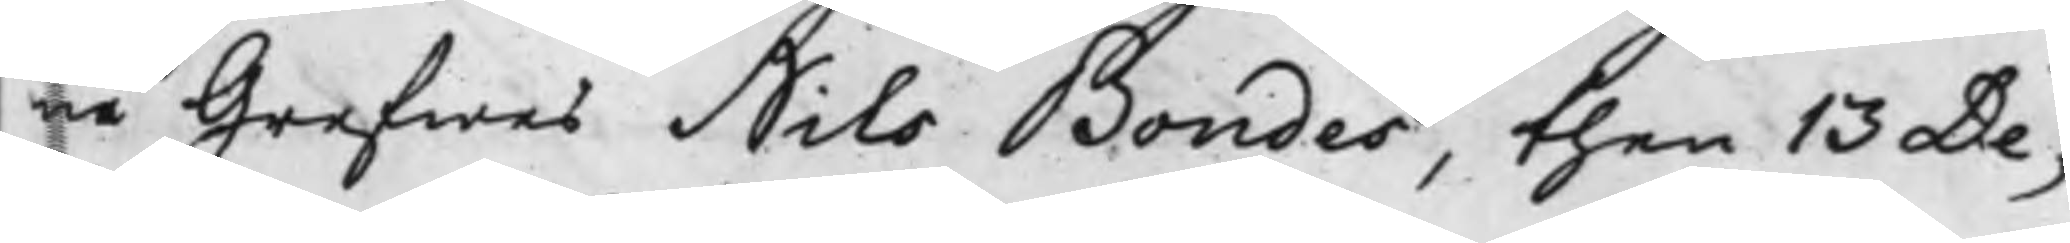ne Grefwes Nils Bondes, then 13 De¬
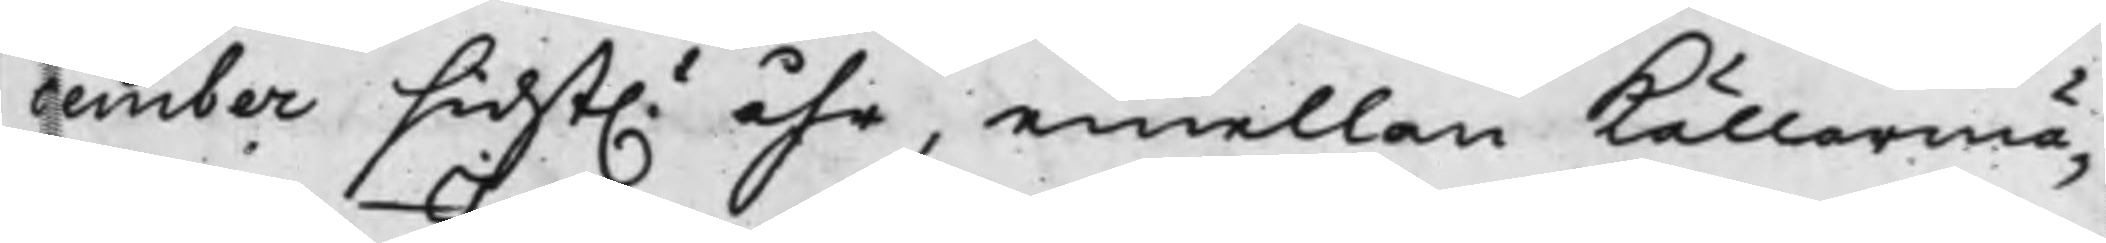cember sidst.t åhr, emellan Källarmä¬
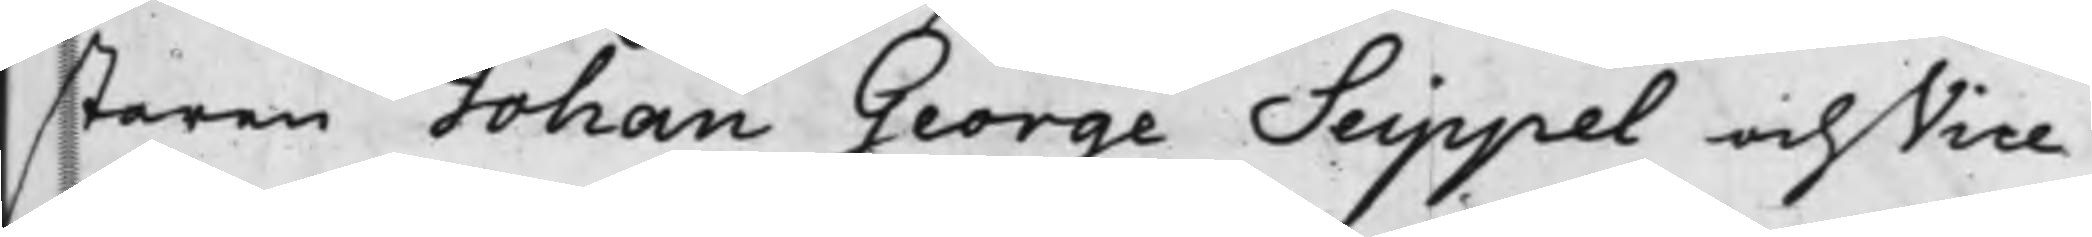staren Johan George Seippel och Vice
